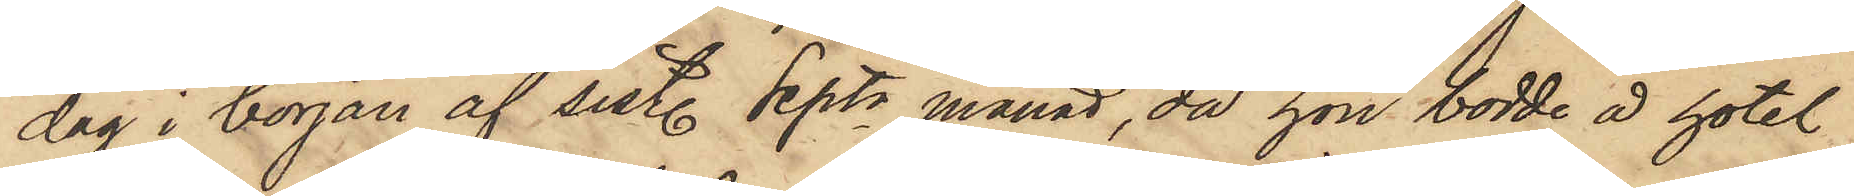dag i början af sist. Septr månad, då hon bodde å hotel
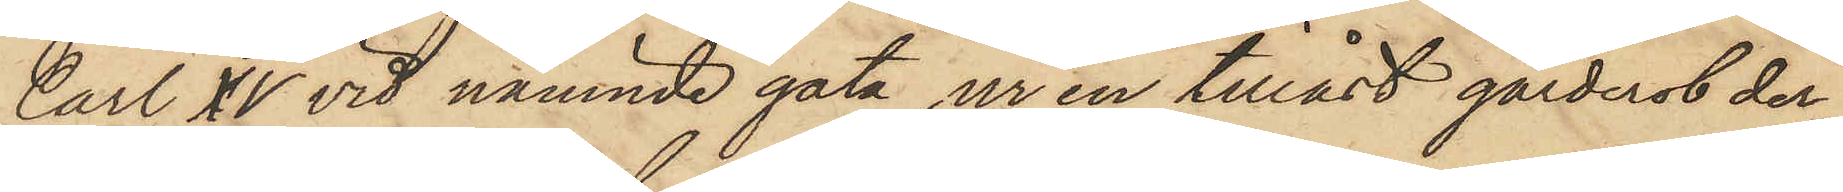Carl XV vid nämnde gata, ur en tillåst garderot der¬
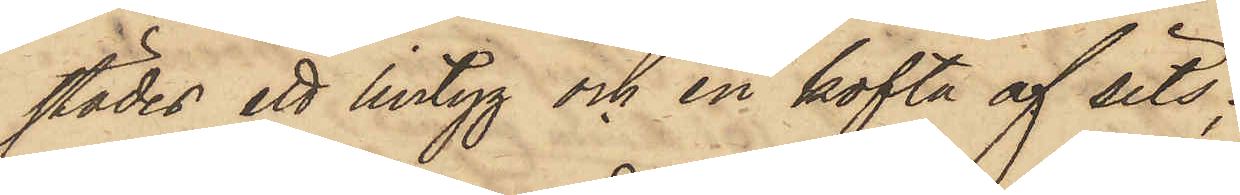städes ett lintyg och en kofta af sits;
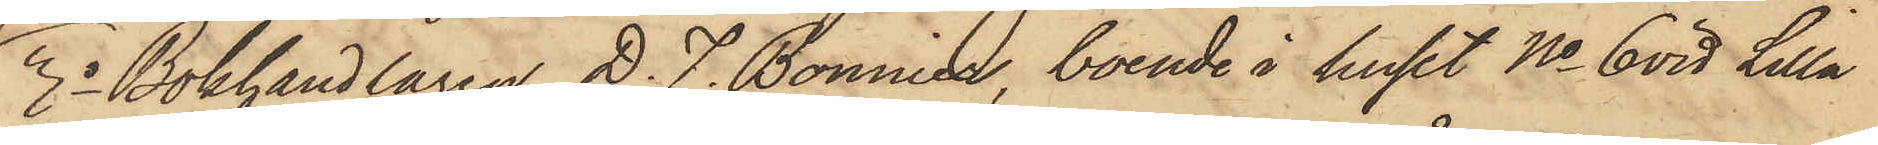3o Bokhandlaren D. F. Bonnier, boende i huset No 6 vid Lilla
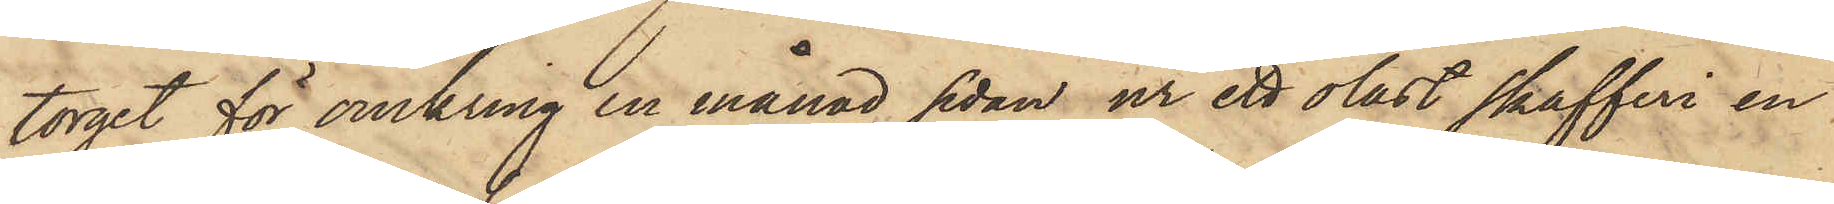torget för omkring en månad sedan ur ett olåst skafferi en
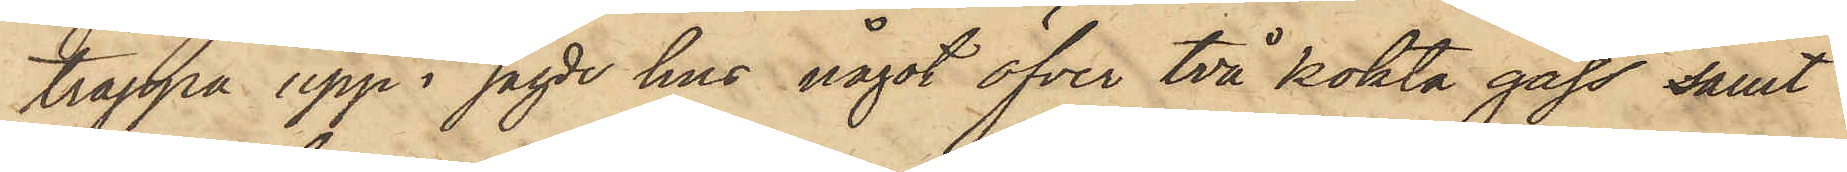trappa upp i sagde hus något öfver två kokta gäss samt
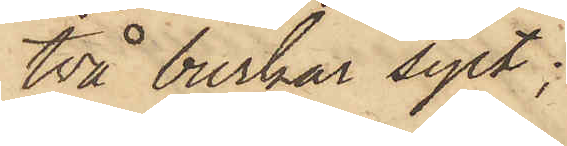två burkar sylt;
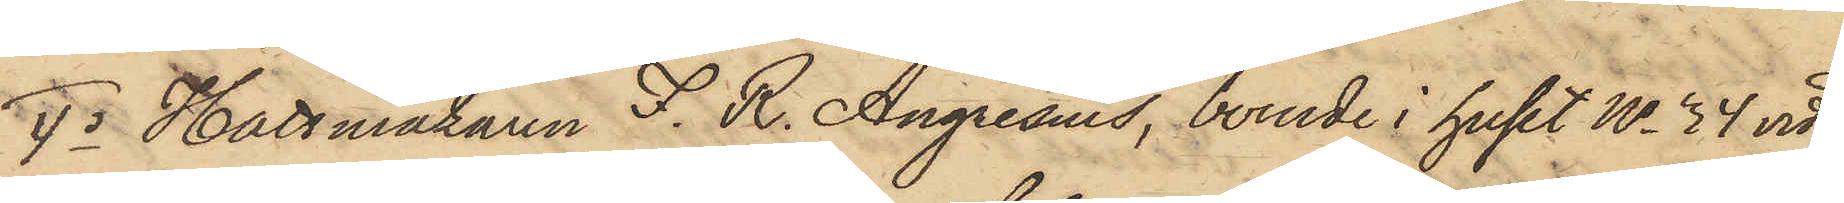4o Hattmakaren F. R. Angresius, boende i huset No 34 vid
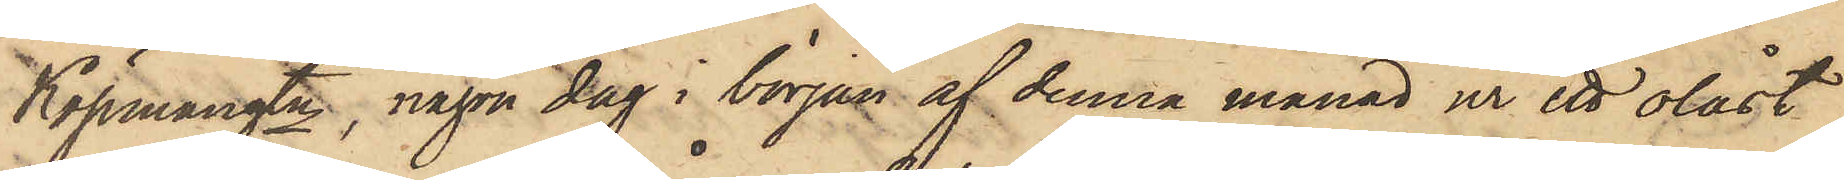Köpmangtn, någon dag i början af denna månad ur ett olåst
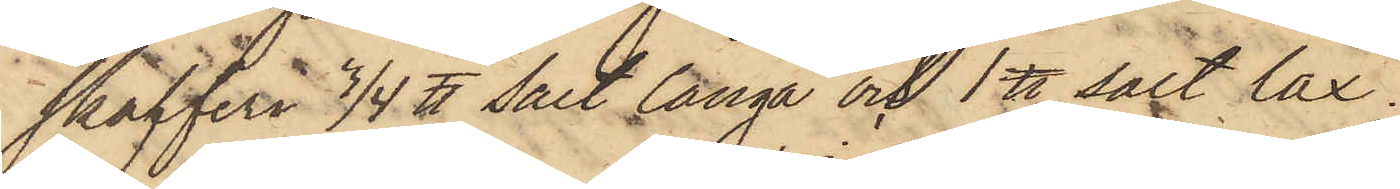skafferi 3/4 ℔ salt långa och 1 ℔ salt lax.
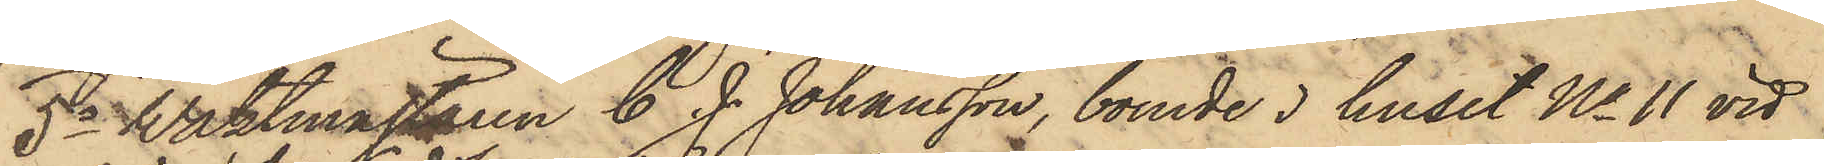5o Waktmästaren C. J. Johansson, boende i huset No 11 vid
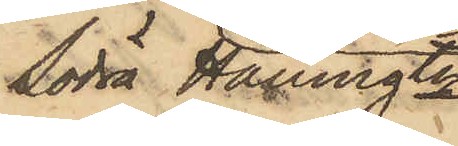Södra Hamngtn
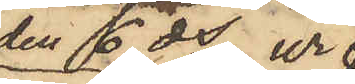den 6 ds ur
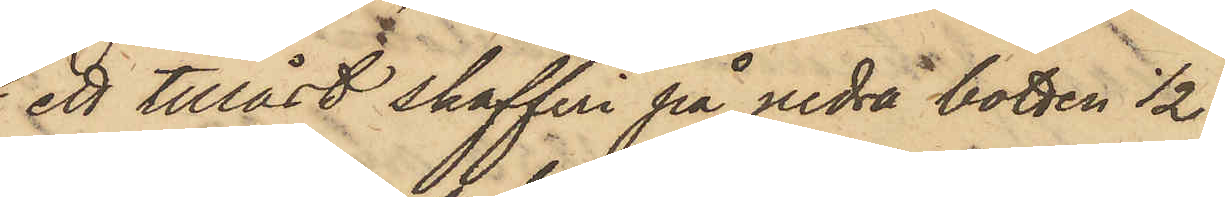ett tillåst skafferi på nedra botten 1/2
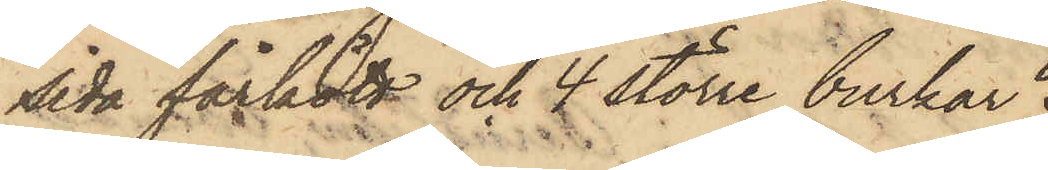sida fårkött och 4 större burkar
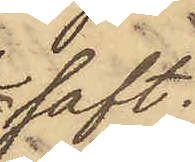saft;
